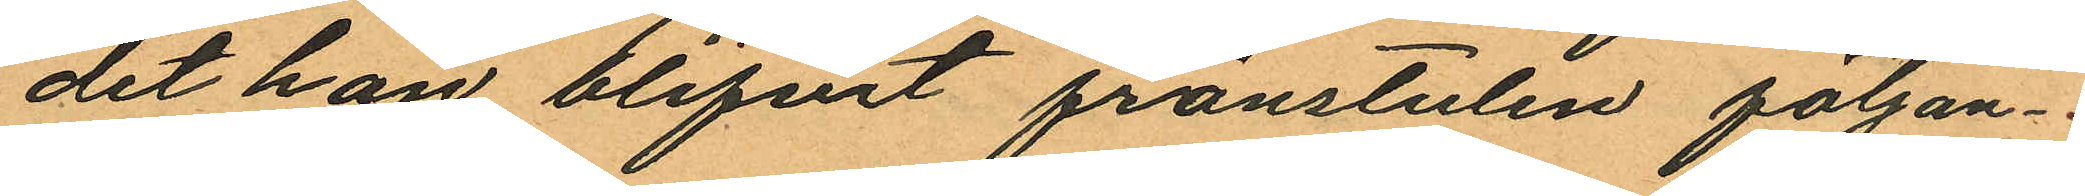det han blifvit frånstulen följan¬
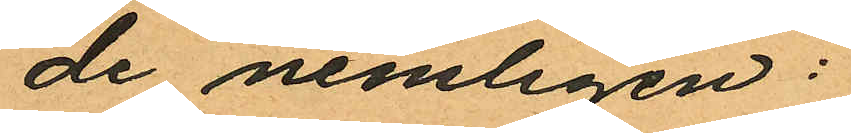de nemligen:
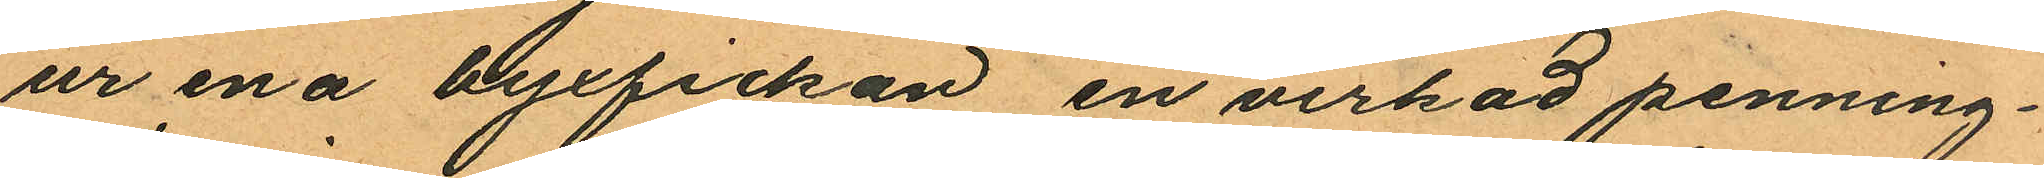ur ena byxfickan en virkad penning¬
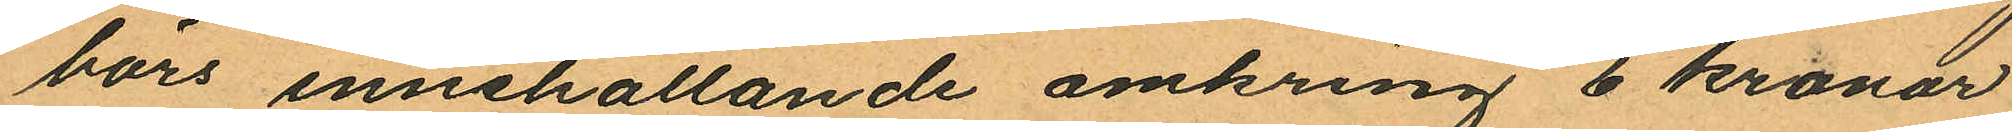börs innehållande omkring 6 kronor
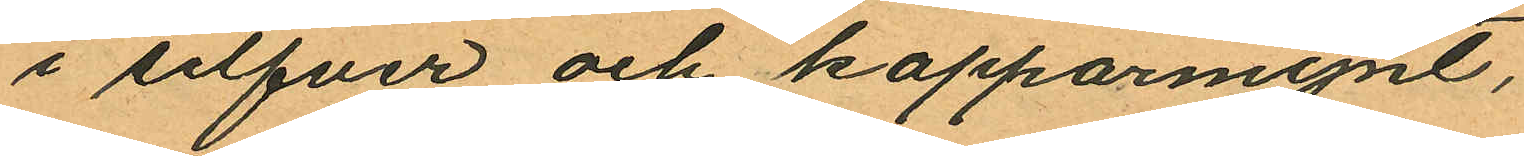i silfver och kopparmynt,
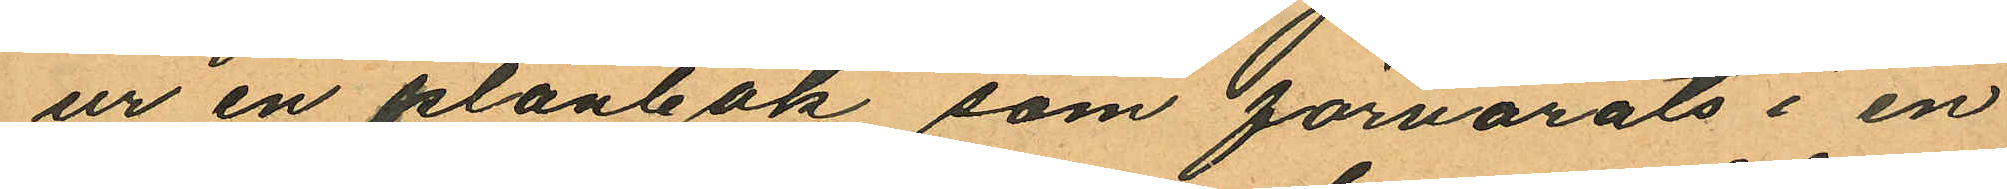ur en plånbok som förvarats i en
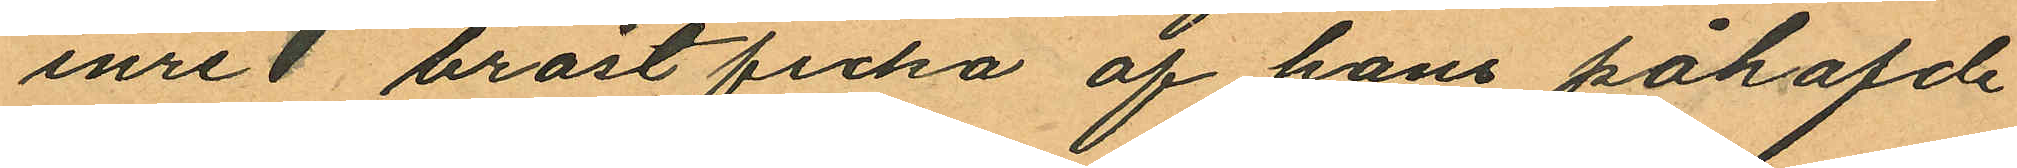inre bröstficka af hans påhafde
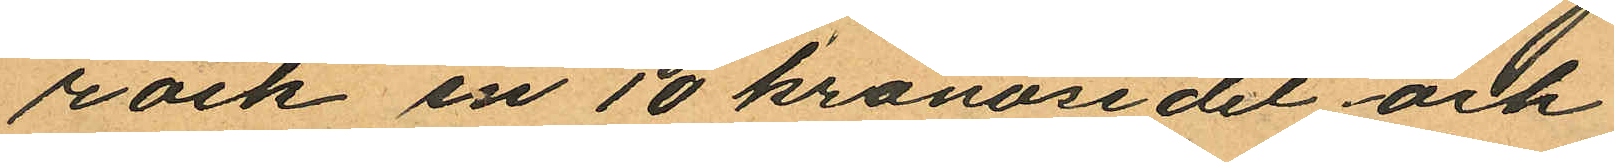rock en 10 kronosedel och
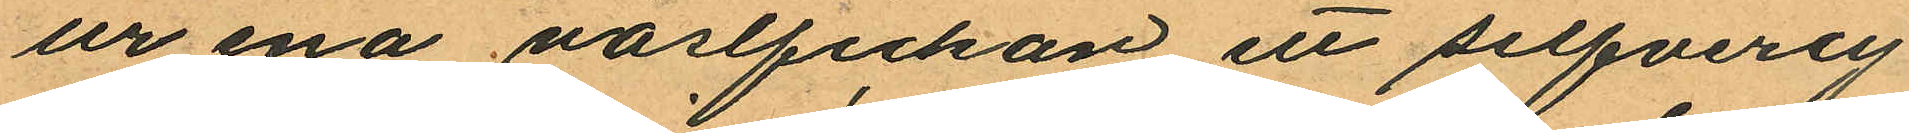ur ena västfickan ett silfvercy¬
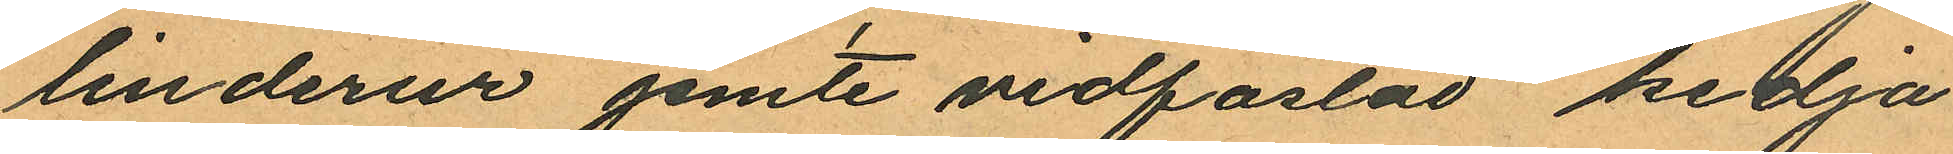linderur jemte vidfästad kedja
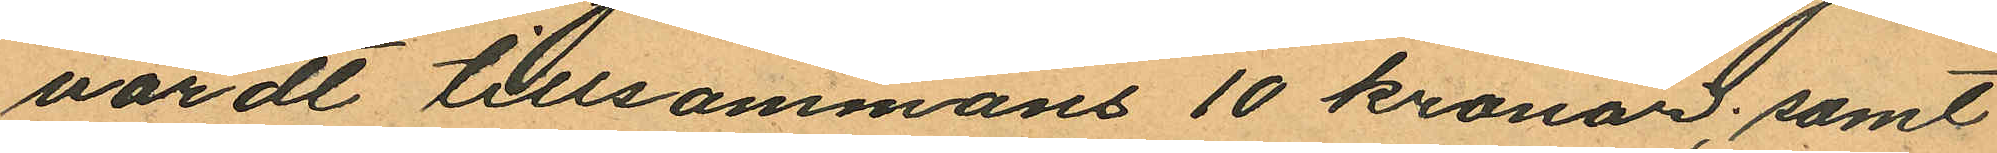värdt tillsammans 10 kronor; samt
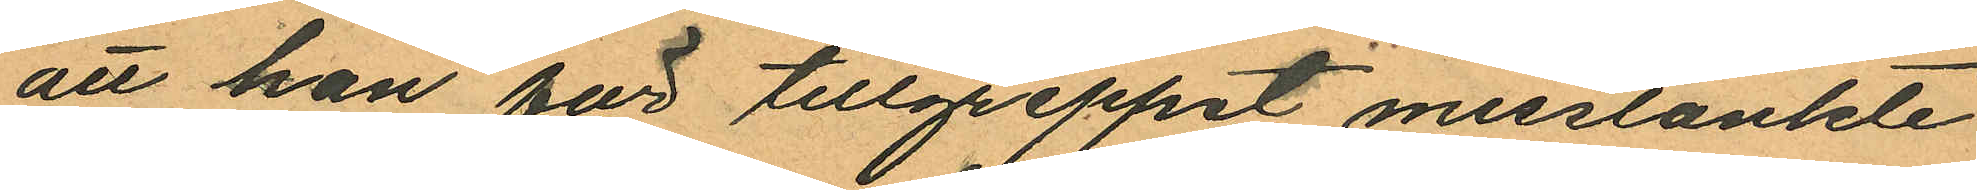att han för tillgreppet misstänkte
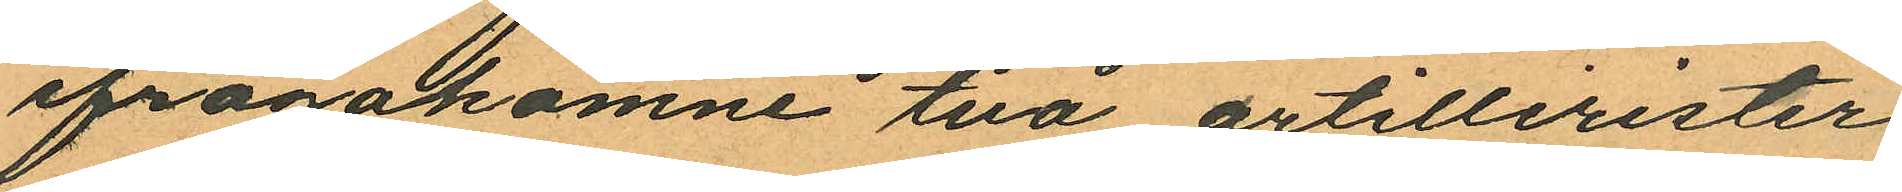ifrågakomne två artillerister
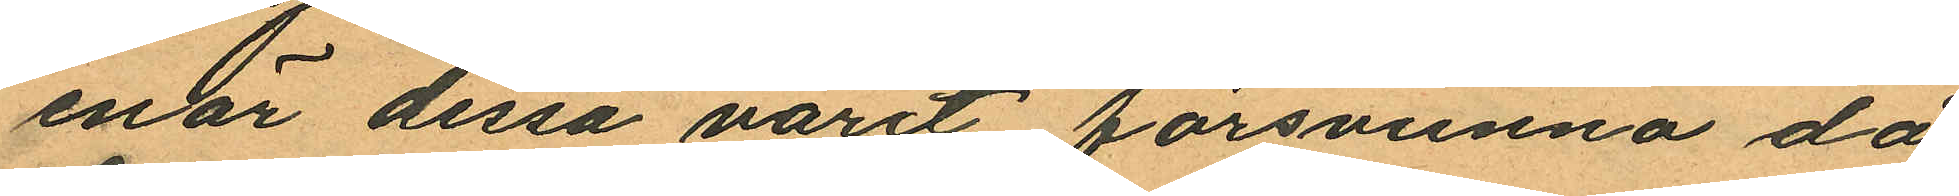enär dessa varit försvunna då
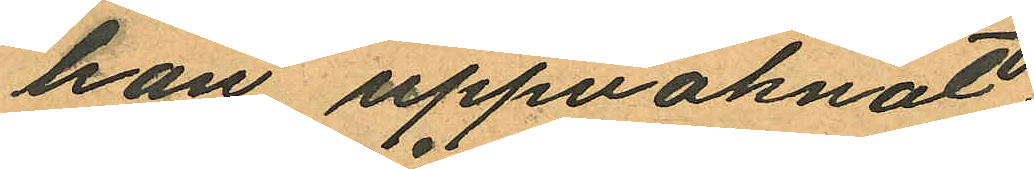han uppvaknat.
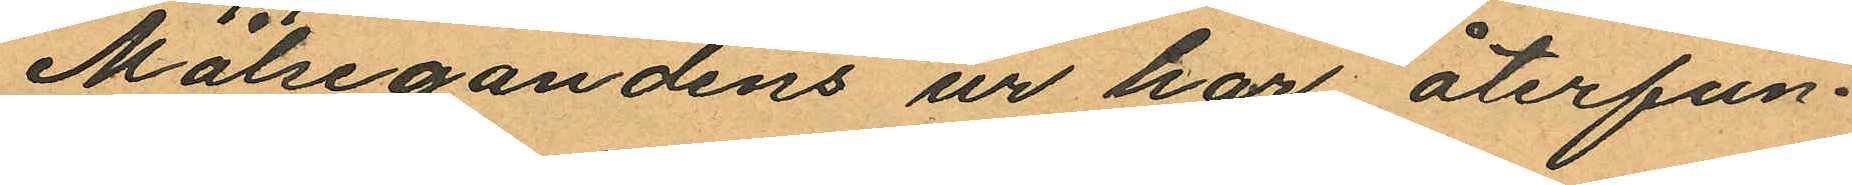Målsegandens ur har återfun¬
